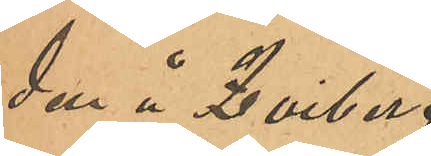den å Qviberg
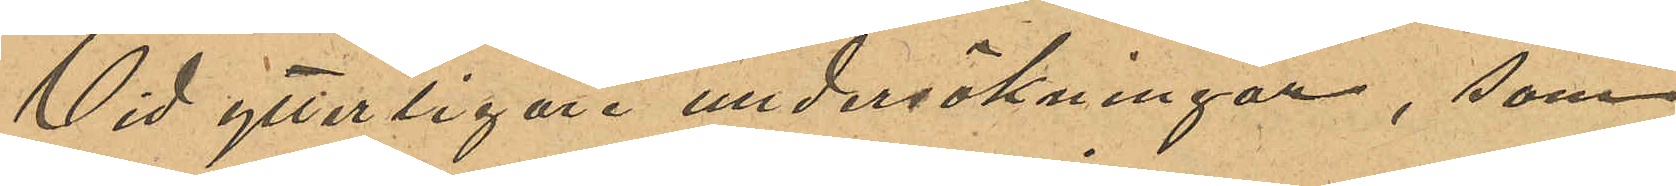Vid ytterligare undersökningar, som
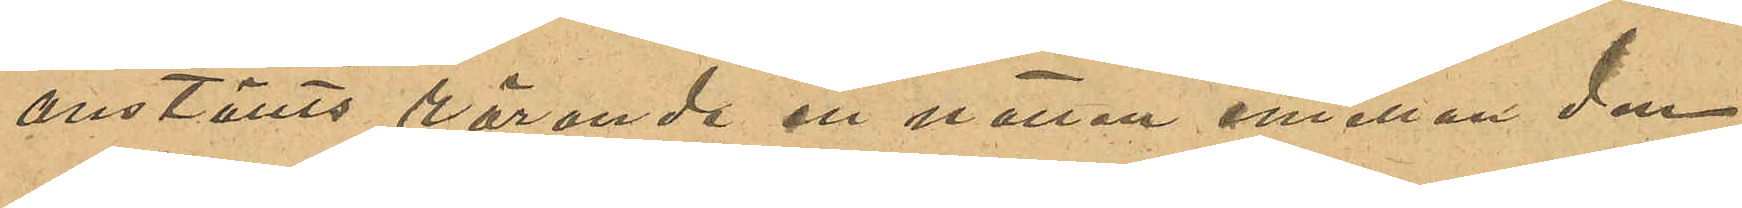anställts rörande en natten emellan den
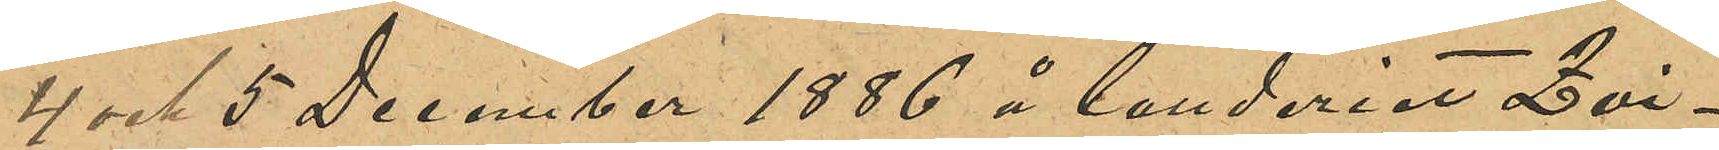4 och 5 December 1886 å landeriet Qvi¬
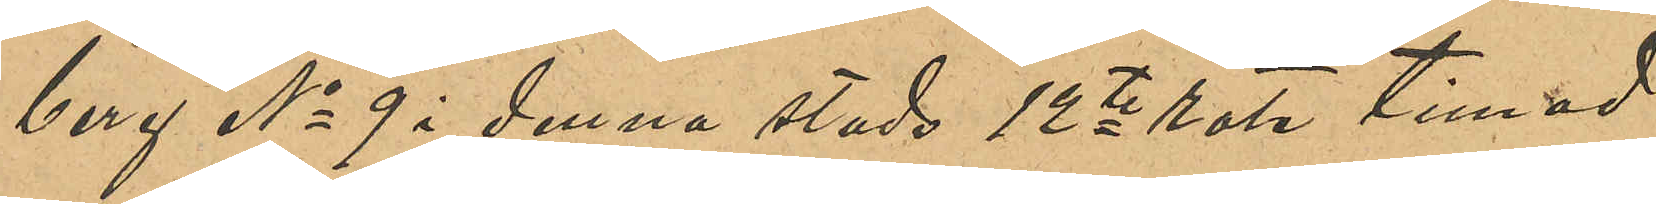berg No 9 i denna stads 12te rote timad
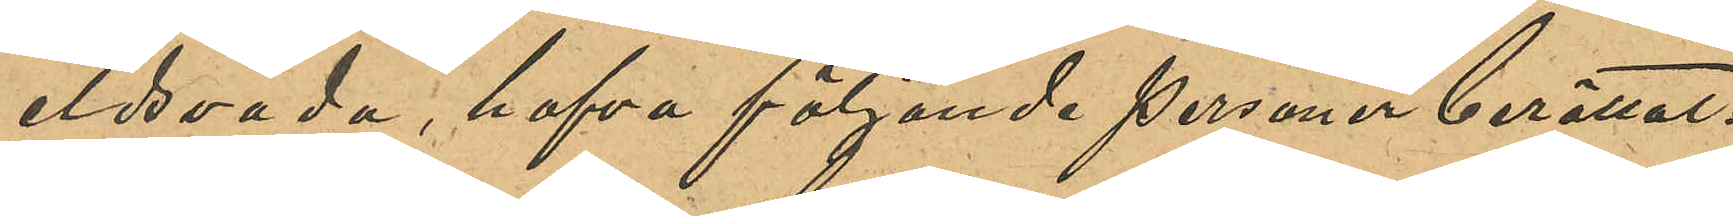eldsvåda, hafva följande personer berättat:
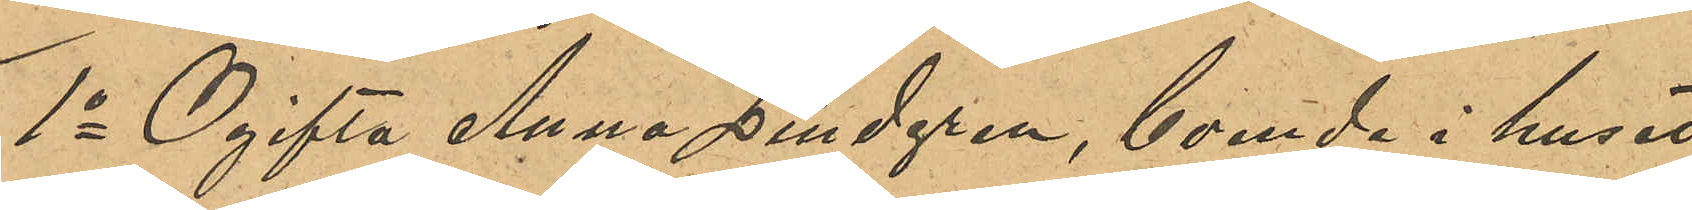1o Ogifta Anna Lindgren, boende i huset
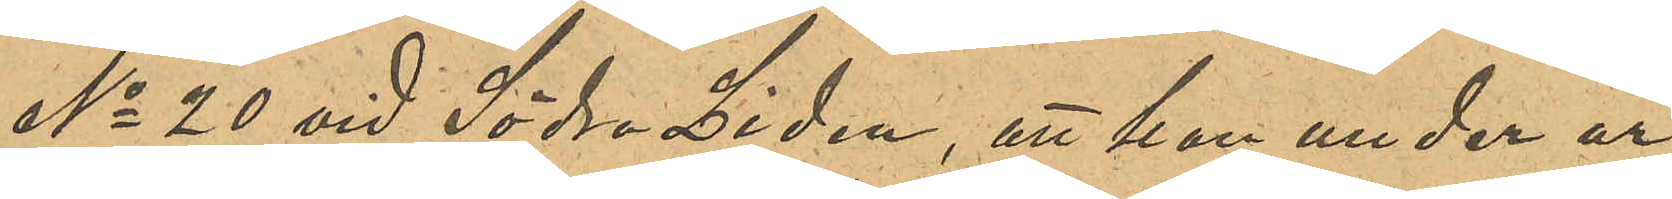No 20 vid Södra Liden, att hon under år
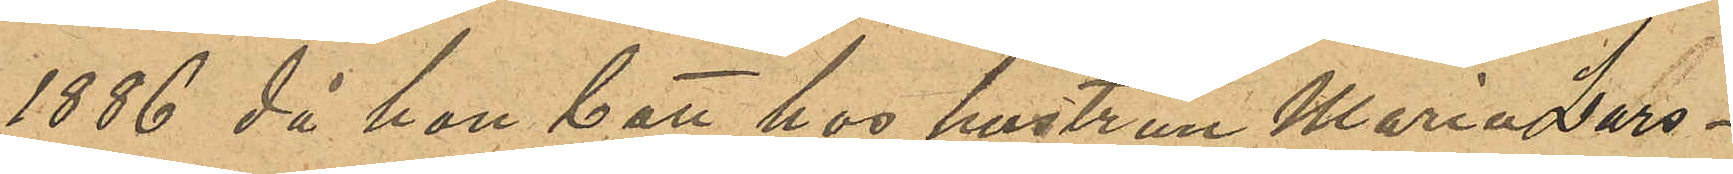1886 då hon bott hos hustrun Maria Lars¬
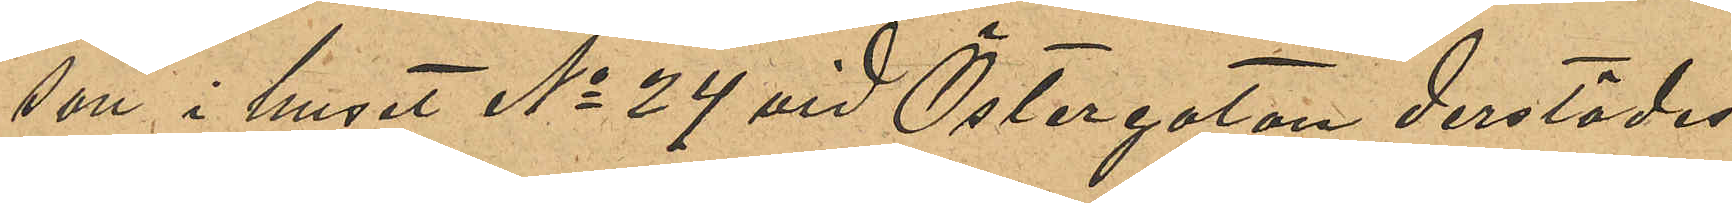son i huset No 24 vid Östergatan derstädes
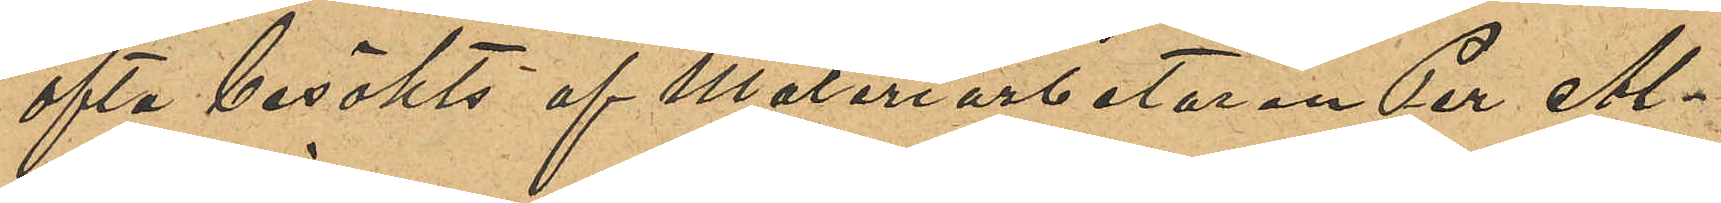ofta besökts af Måleriarbetaren Per Al¬
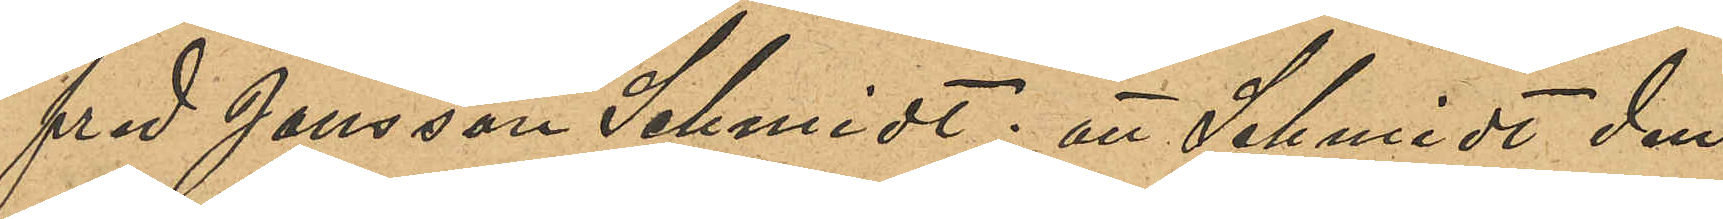fred Jansson Schmidt; att Schmidt den
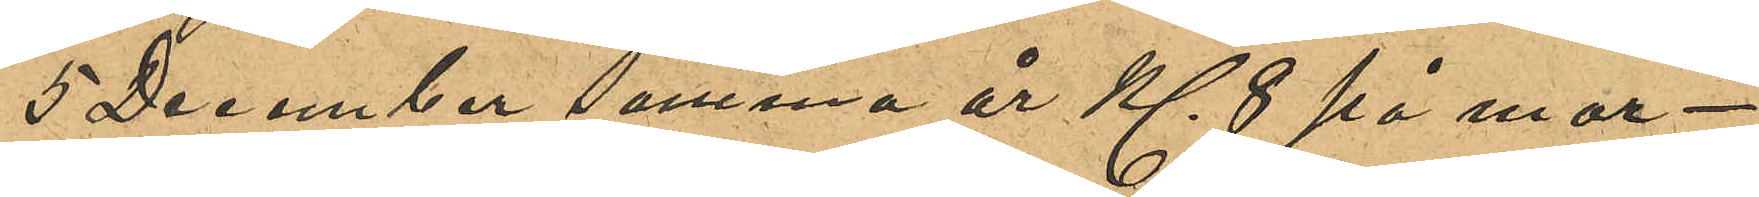5 December samma år Kl 8 på mor¬
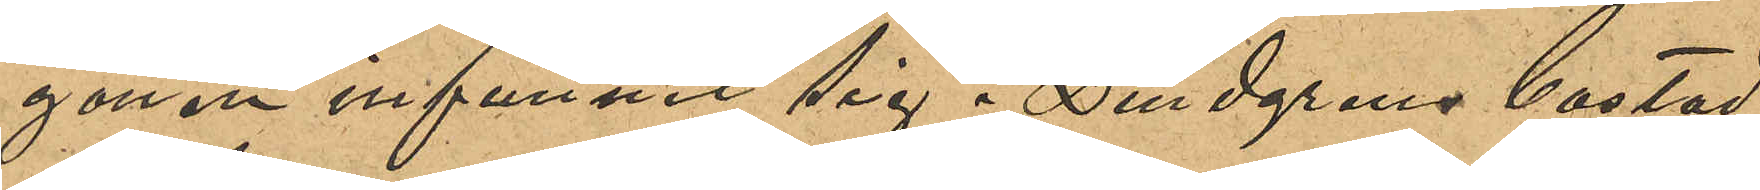gonen infunnit sig i Lindgrens bostad,
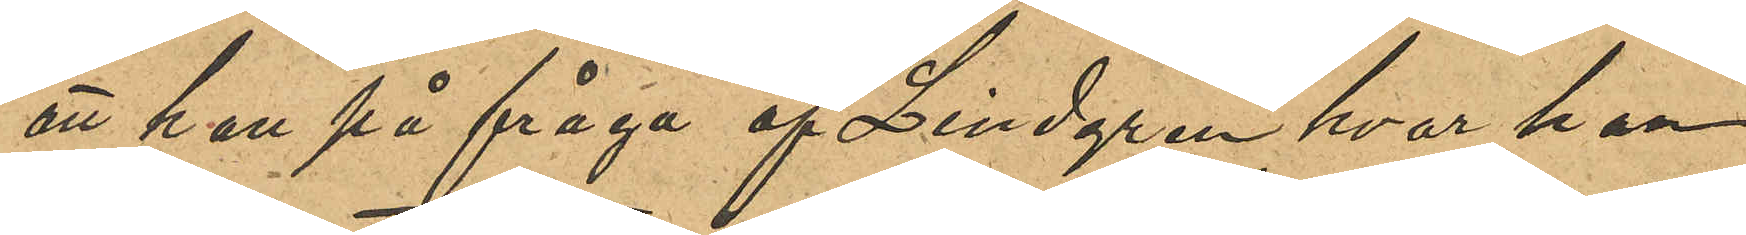att han på fråga af Lindgren hvar han
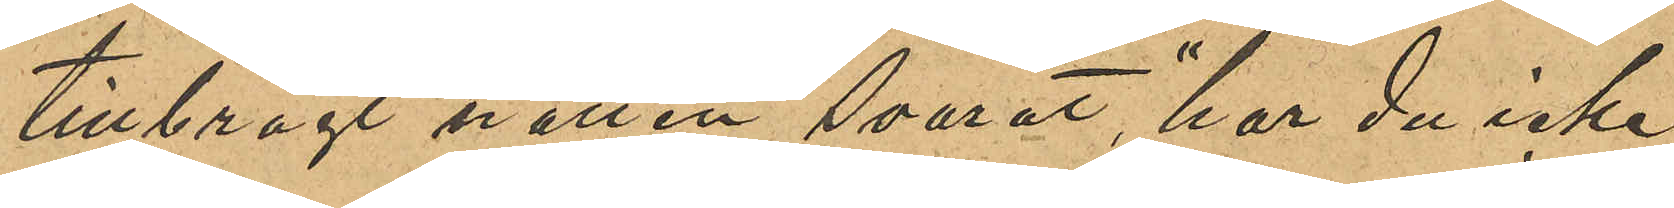tillbragt natten svarat, "har du icke
